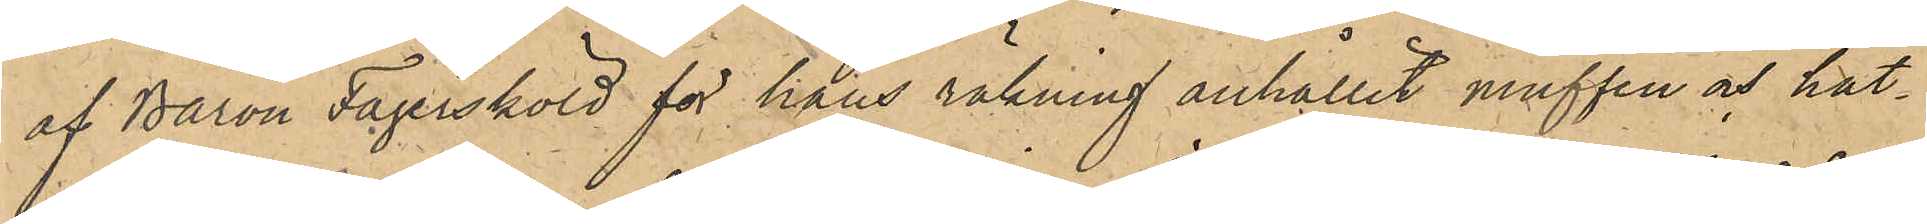af Baron Fägersköld för hans räkning anhållit muffen och hat¬
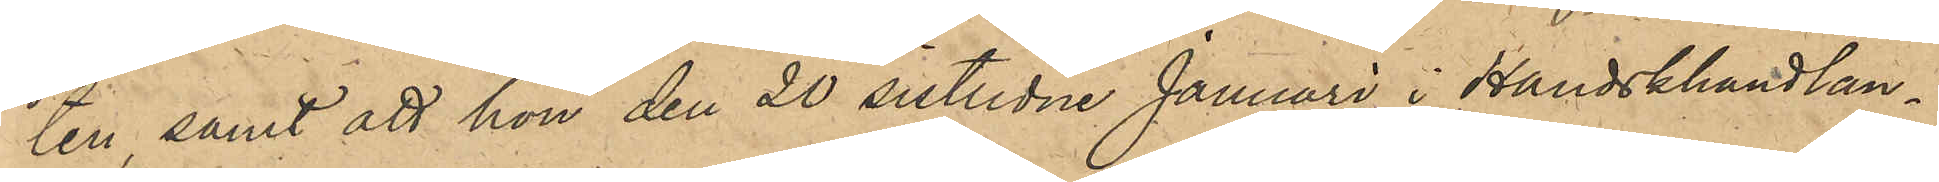ten, samt att hon den 20 sistlidne Januari i Handskhandlan¬
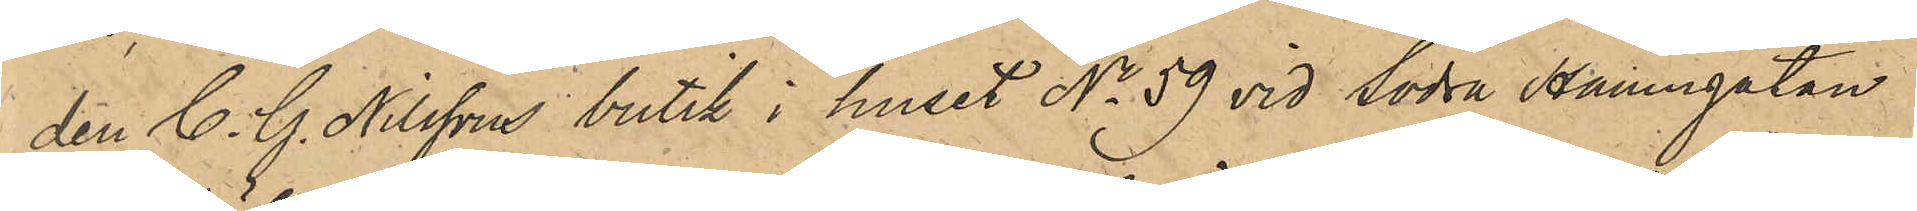den C. G. Nilssons butik i huset No 59 vid Södra Hamngatan
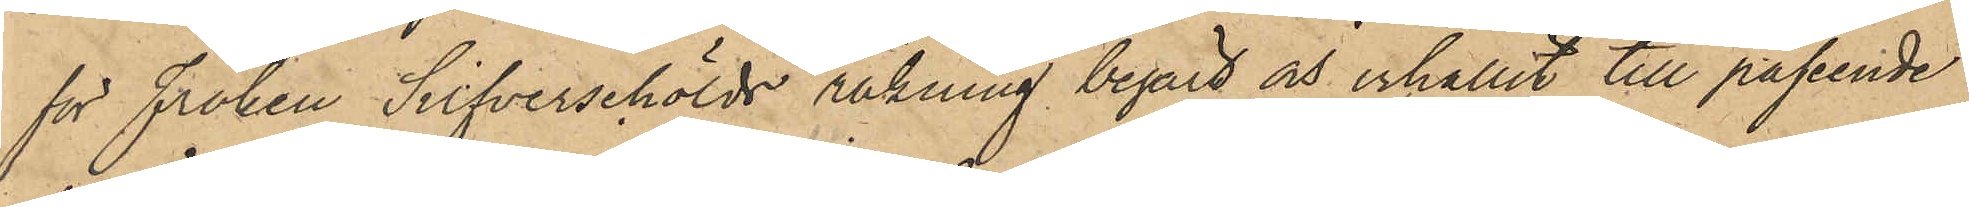för fröken Silfverschölds räkning begärt och erhållit till påseende
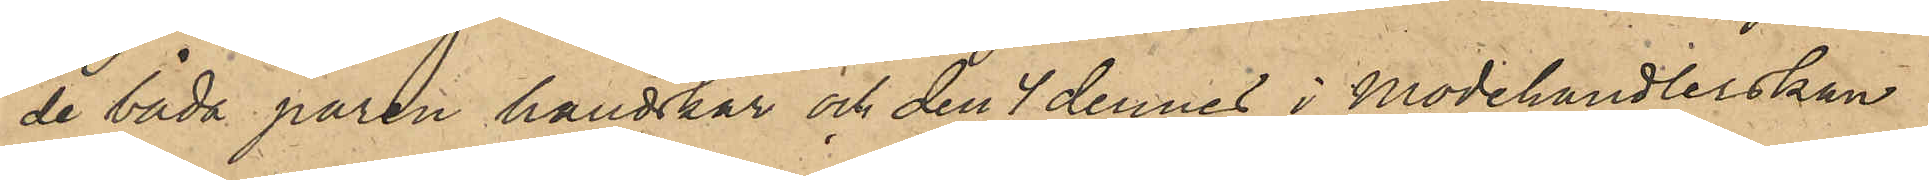de båda paren handskar och den 4 dennes i Modehandlerskan
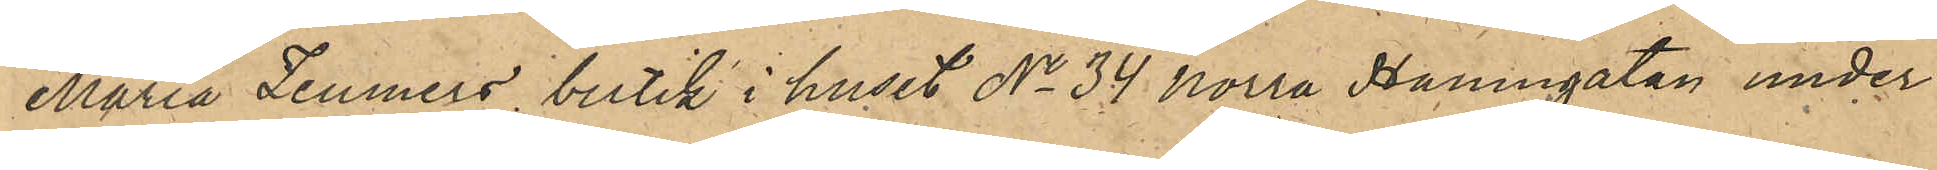Maria Zeumers butik i huset No 34 Norra Hamngatan under
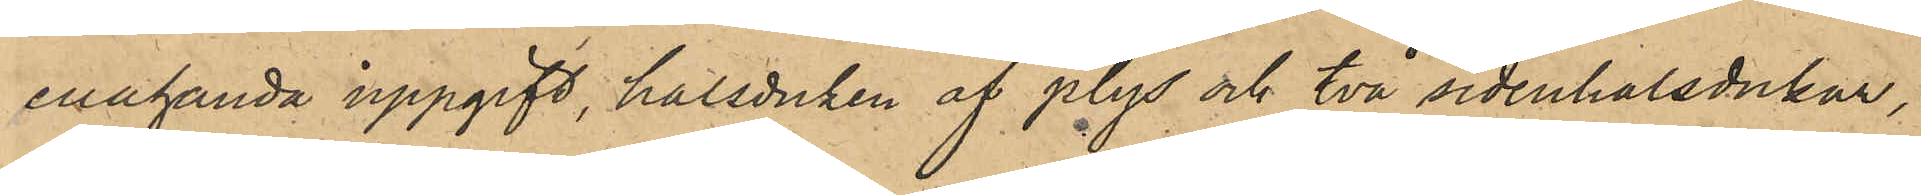enahanda uppgift, halsduken af plys och två sidenhalsdukar,
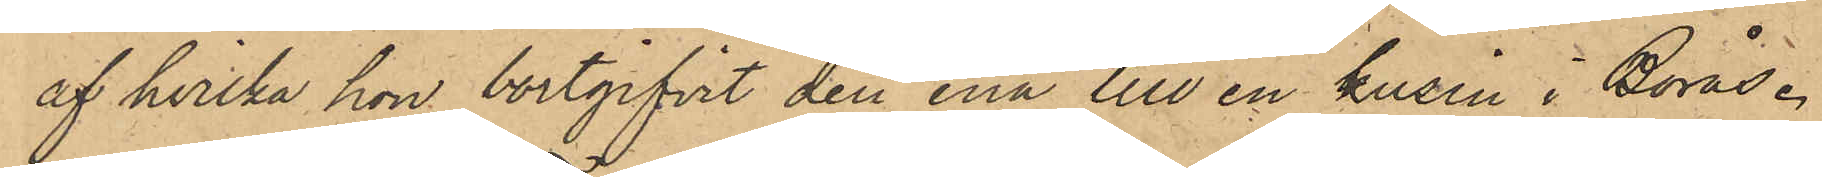af hvilka hon bortgifvit den ena till en kusin i Borås.
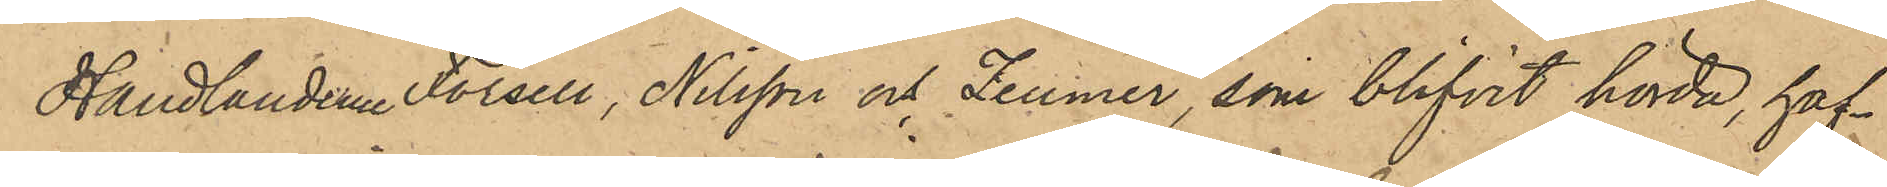Handlanderne Forsell, Nilsson och Zeumer, som blifvit hörde, haf¬
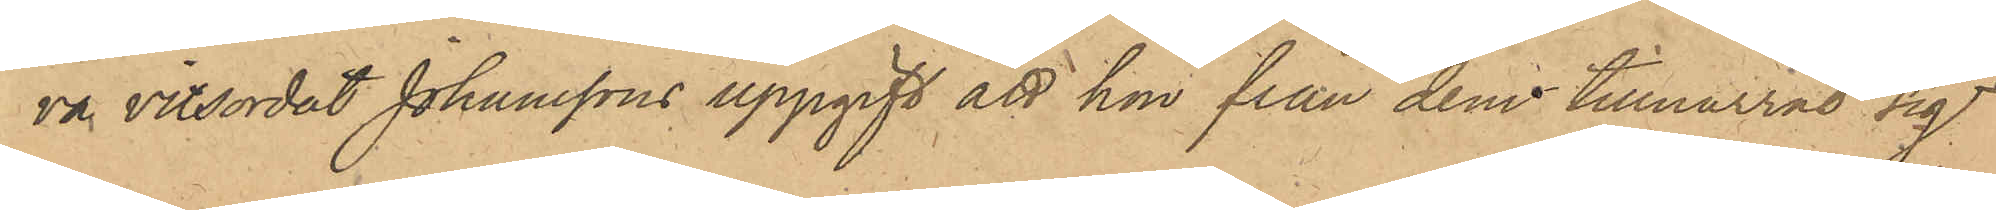va vitsordat Johanssons uppgift att hon från dem tillnarrat sig
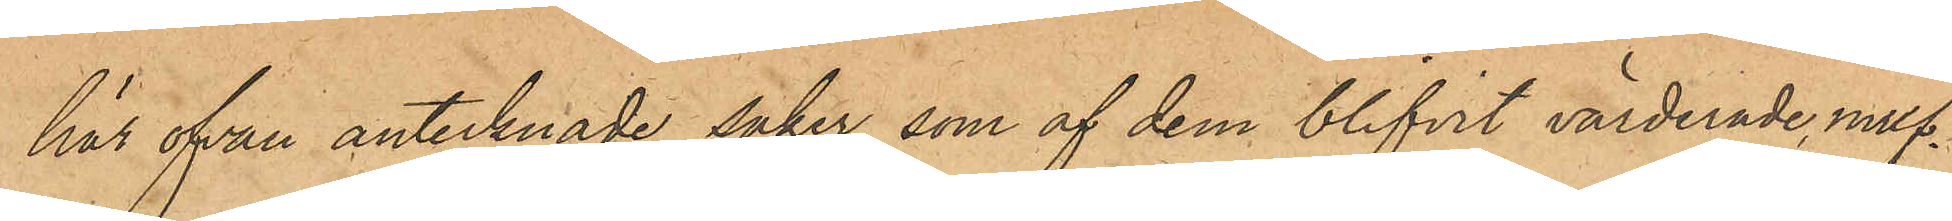här ofvan antecknade saker, som af dem blifvit värderade, muf¬
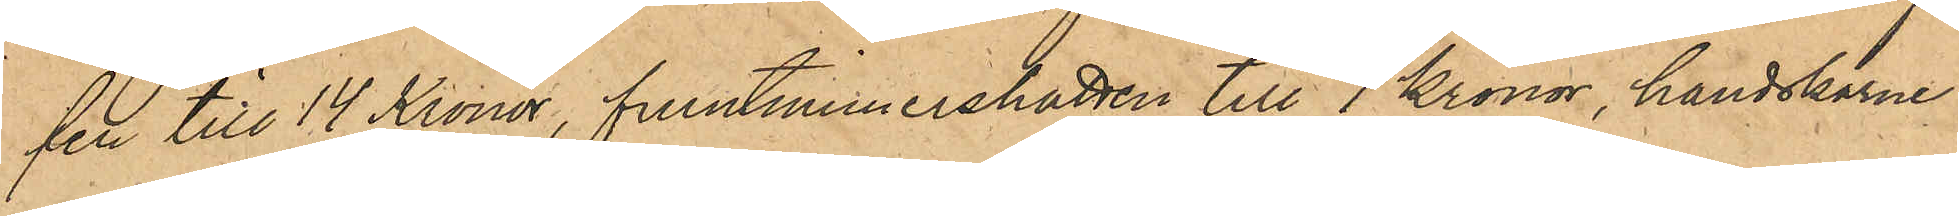fen till 14 Kronor, fruntimmershatten till 7 Kronor, handskarne
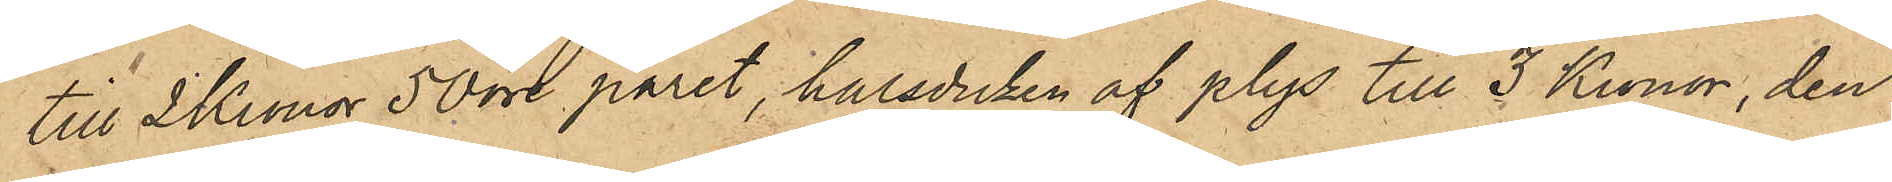till 2 Kronor 50 öre paret, halsduken af plys till 3 Kronor, den
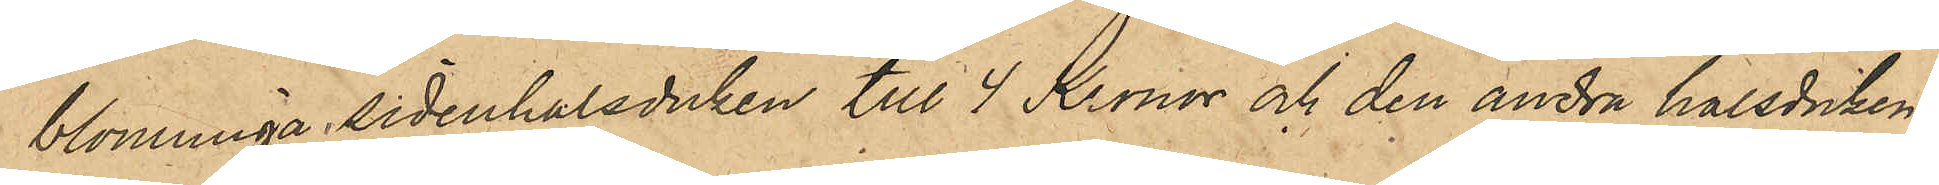blommiga sidenhalsduken till 4 Kronor och den andra halsduken
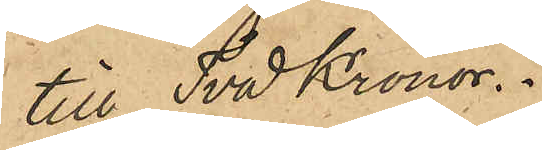till Två Kronor.
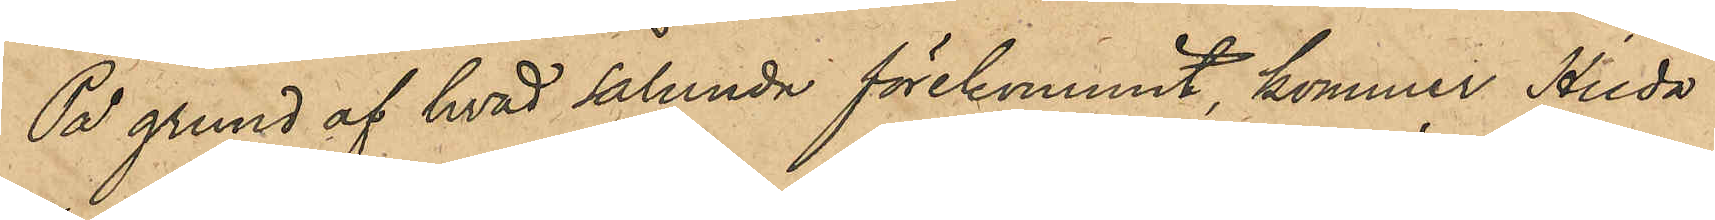På grund af hvad sålunda förekommit, kommer Hilda
